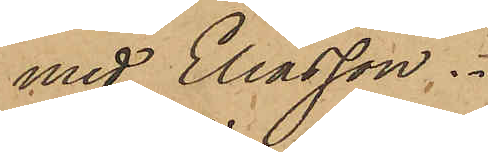med Eliasson.
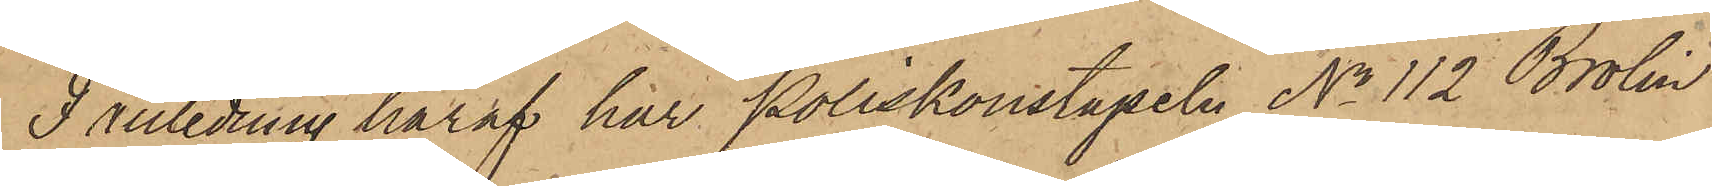I anledning häraf har Poliskonstapeln No 112 Brolin
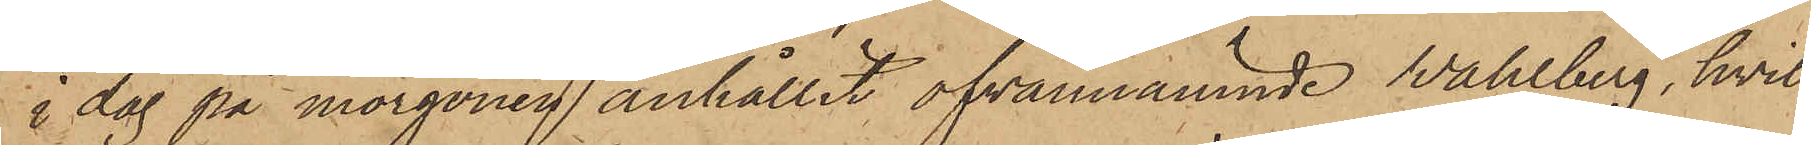i dag på morgonen anhållit ofvannämnde Wahlberg, hvil¬
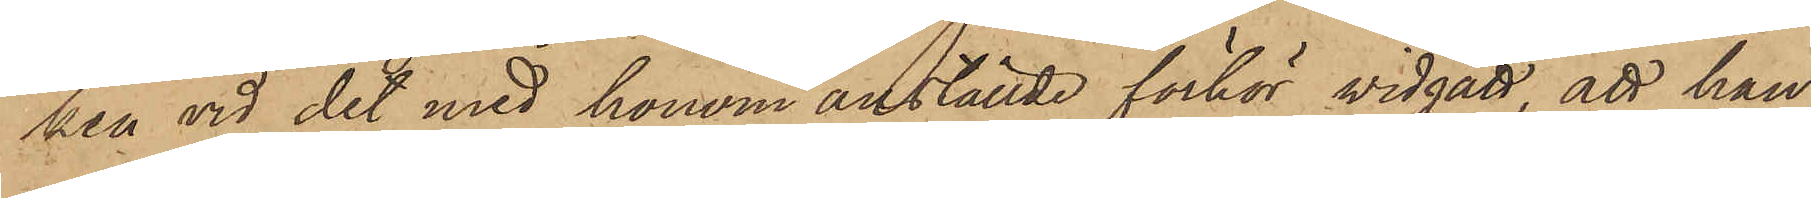ken vid det med honom anställde förhör vidgått att han
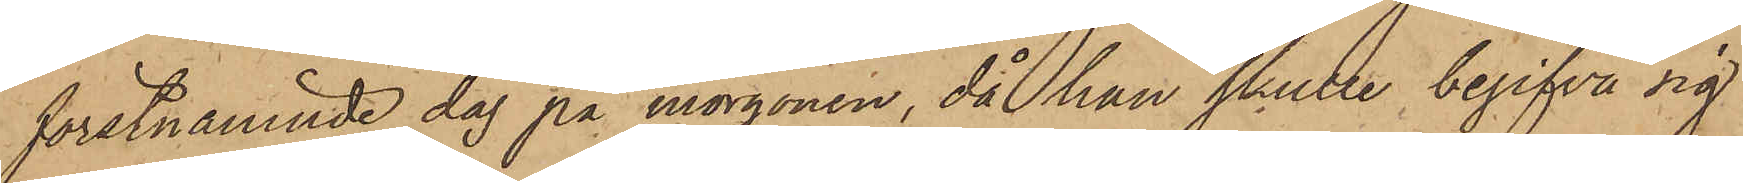förstnämnde dag på morgonen, då han skulle begifva sig
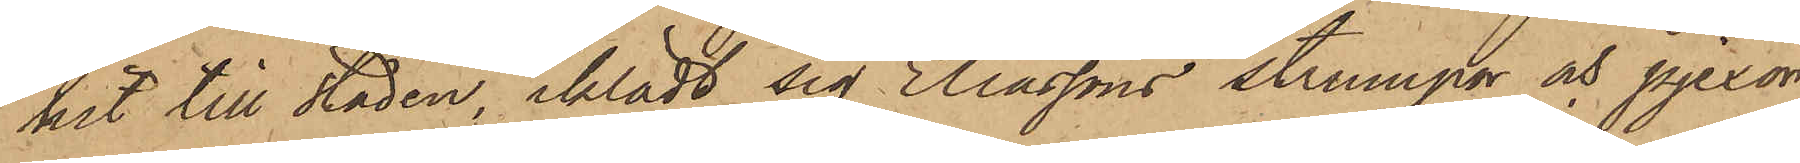hit till staden, iklädt sig Eliassons strumpor och pjexor,
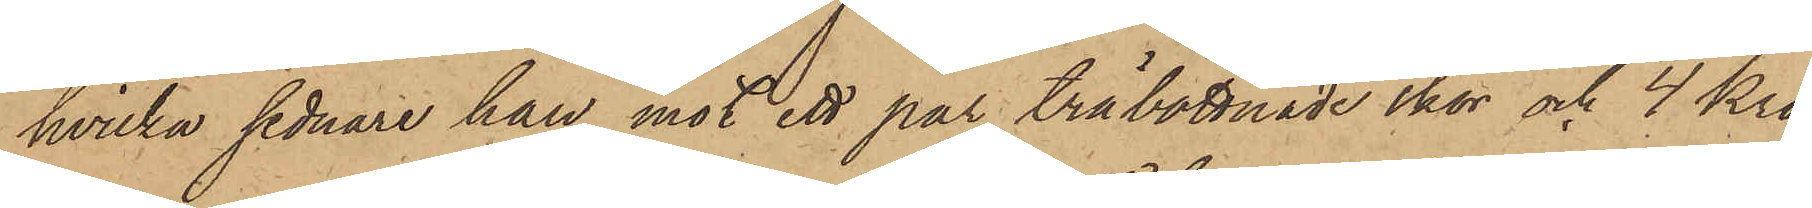hvilka sednare han mot ett par träbottnade skor och 4 Kro¬
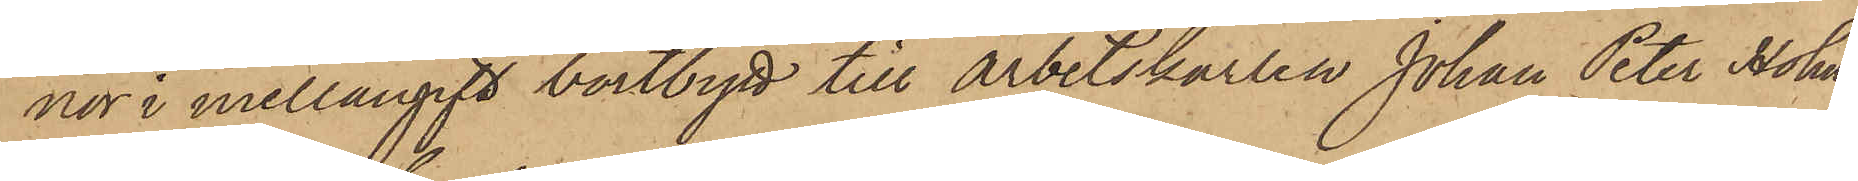nor i mellangift bortbytt till Arbetskarlen Johan Peter Holm,
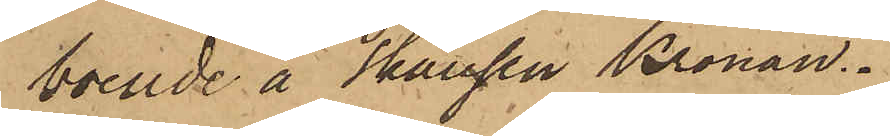boende å Skansen Kronan.
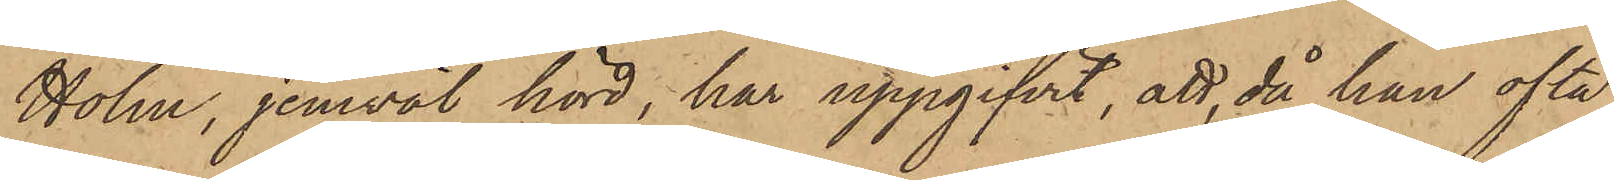Holm, jemväl hörd, har uppgifvit, att, då han ofta
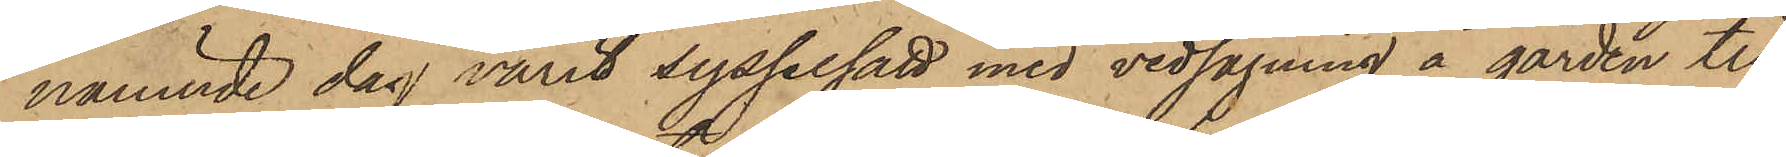nämnde dag varit sysselsatt med vedsågning å gården till
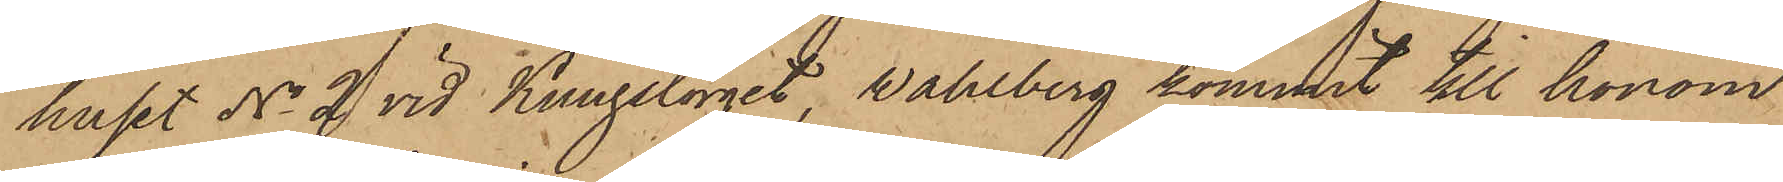huset No 2 vid Kungstorget, Wahlberg kommit till honom
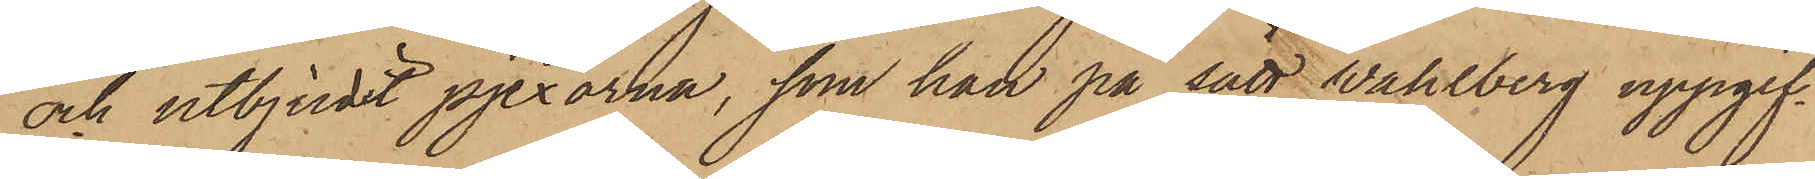och utbjudit pjexorna, som han på sätt Wahlberg uppgif¬
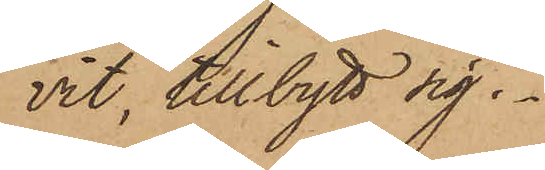vit, tillbytt sig.
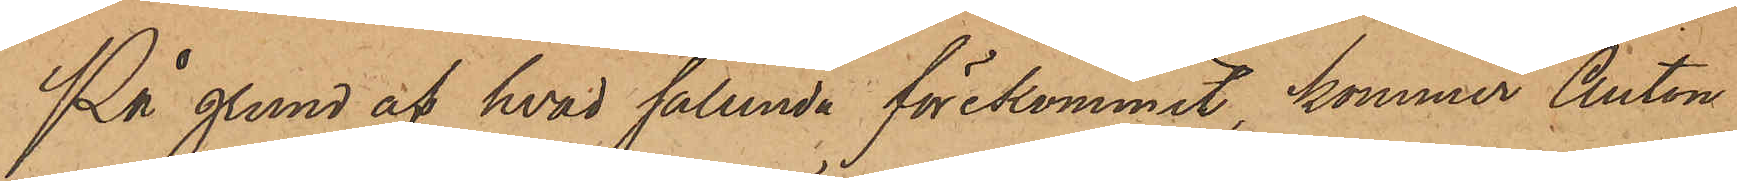På grund af hvad sålunda förekommit, kommer Anton
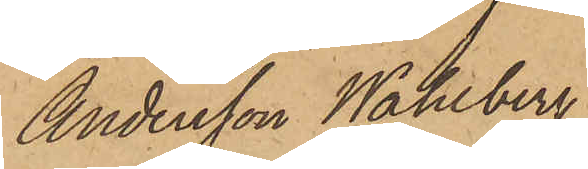Andersson Wahlberg,
